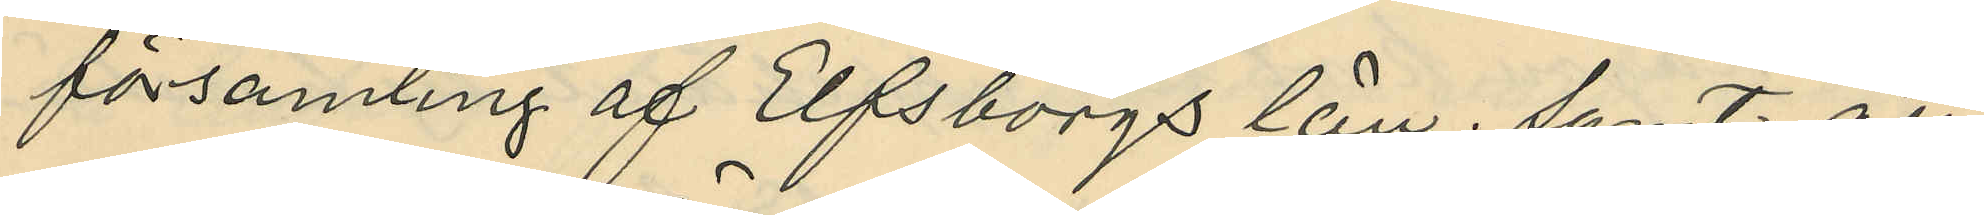församling af Elfsborgs län; samt att
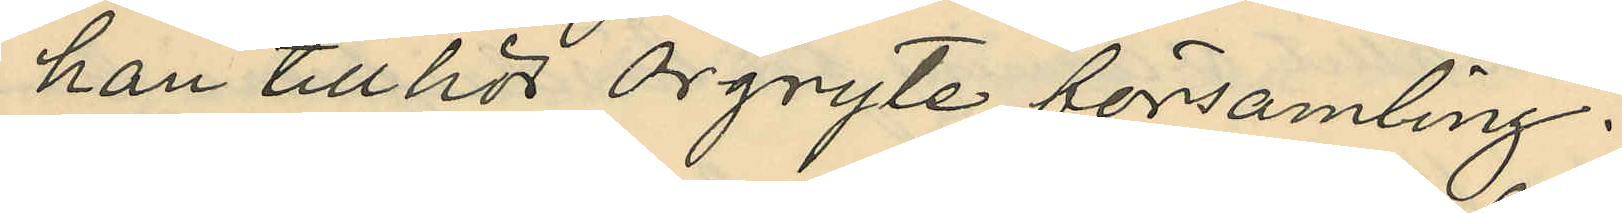han tillhör Örgryte församling.
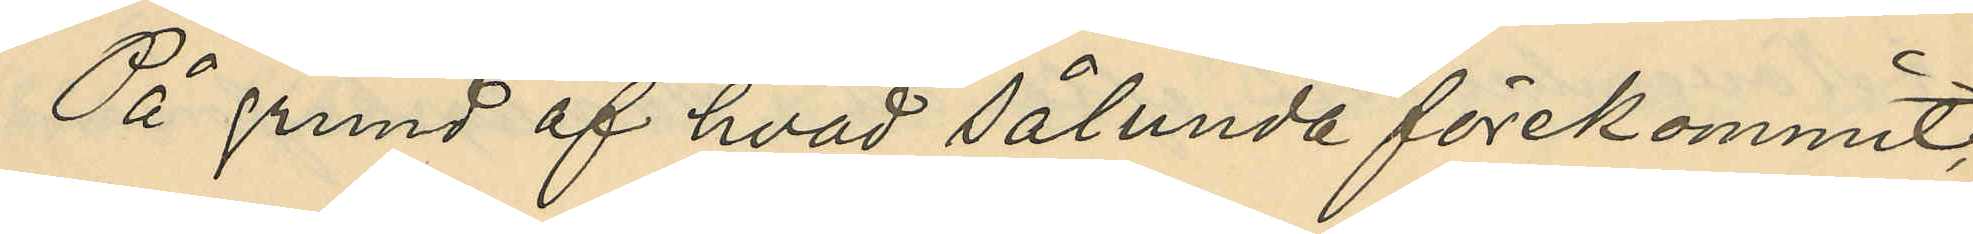På grund af hvad sålunda förekommit,
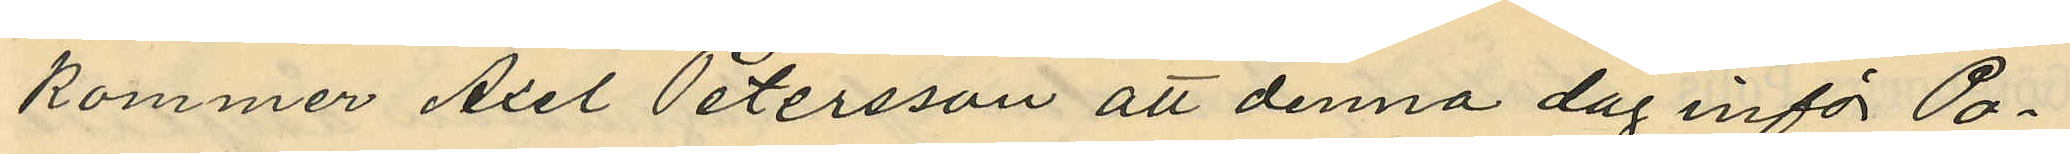kommer Axel Petersson att denna dag inför Po¬
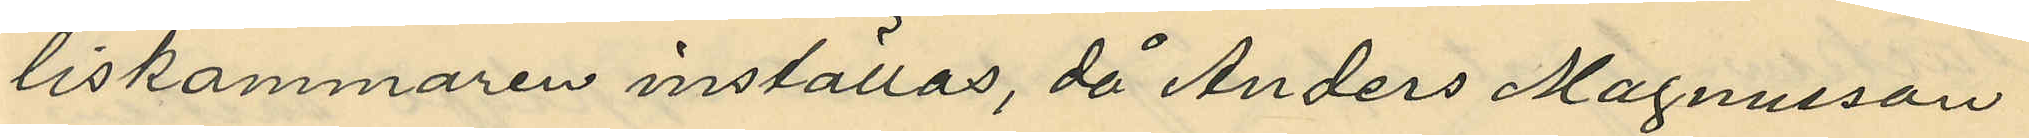liskammaren inställas, då Anders Magnusson
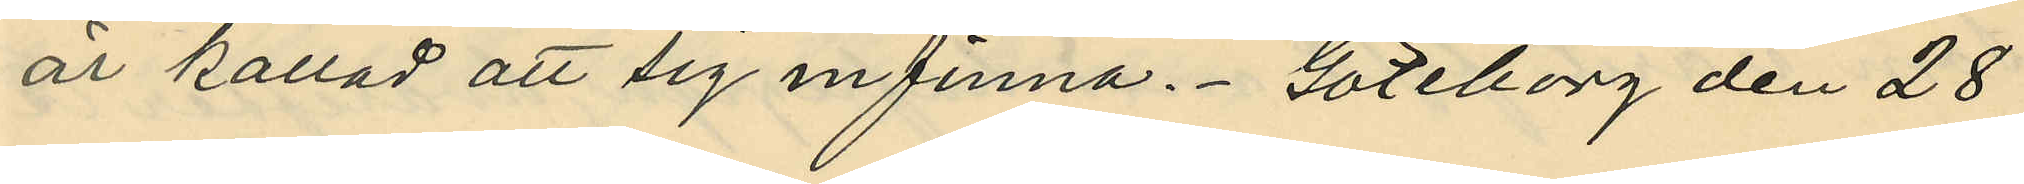är kallad att sig infinna. Göteborg den 28
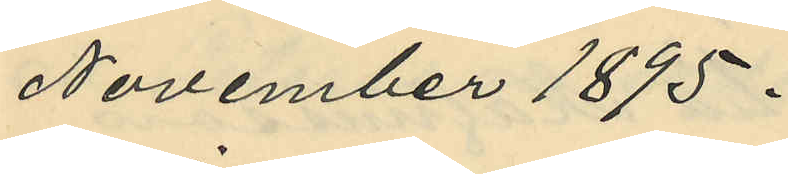November 1895.
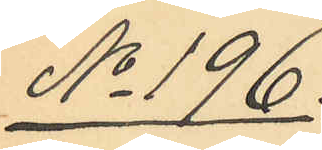No 196.
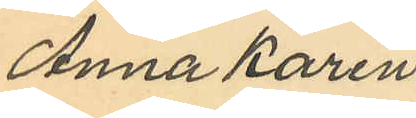Anna Karin
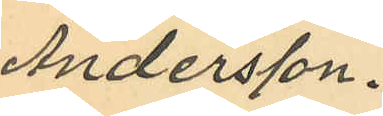Andersson.
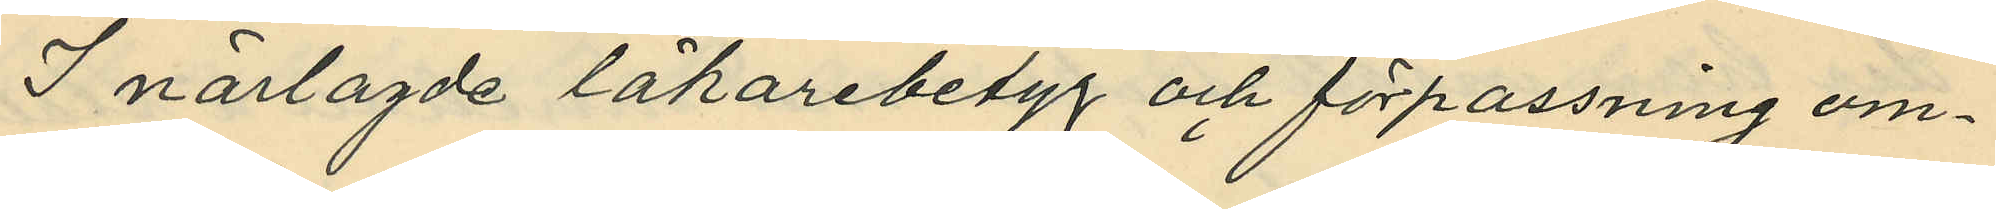I närlagde läkarebetyg och förpassning om¬
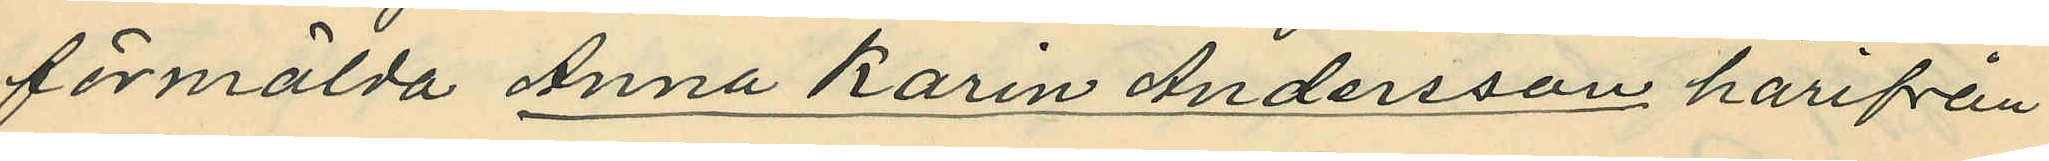förmälda Anna Karin Andersson härifrån
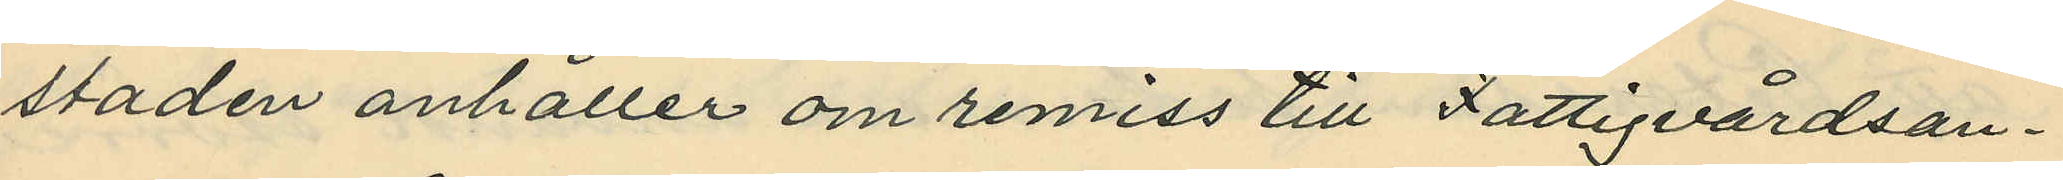staden anhåller om remiss till Fattigvårdsan¬
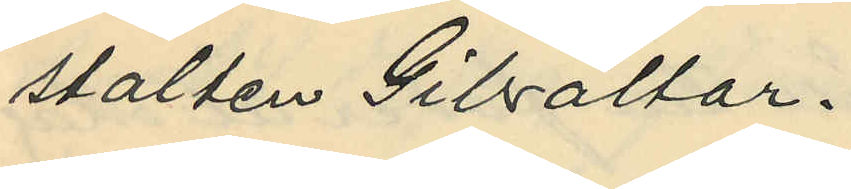stalten Gibraltar.
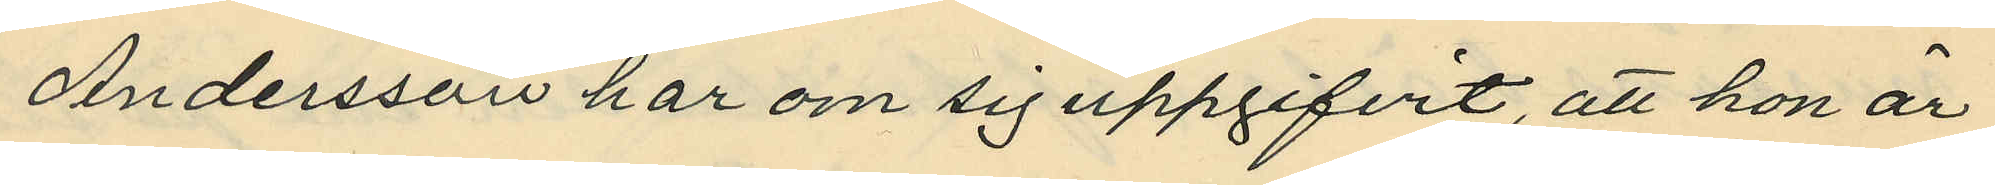Andersson har om sig uppgifvit, att hon är
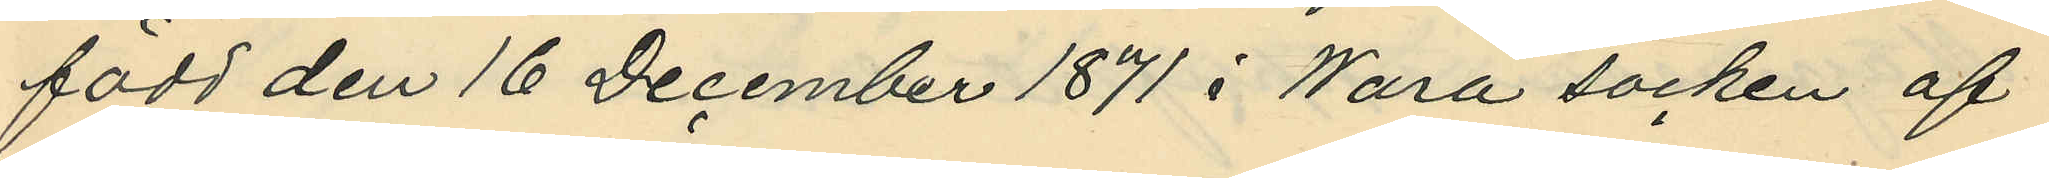född den 16 December 1871 i Wara socken af
